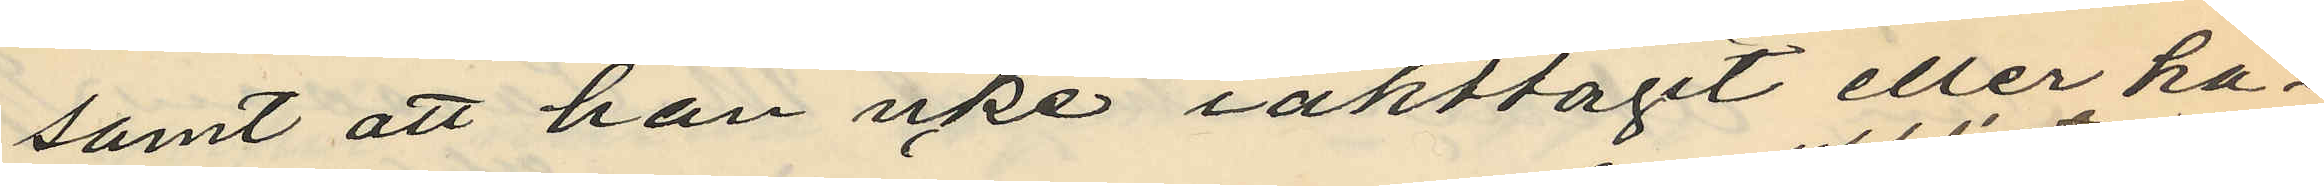samt att han icke iakttagit eller ha¬
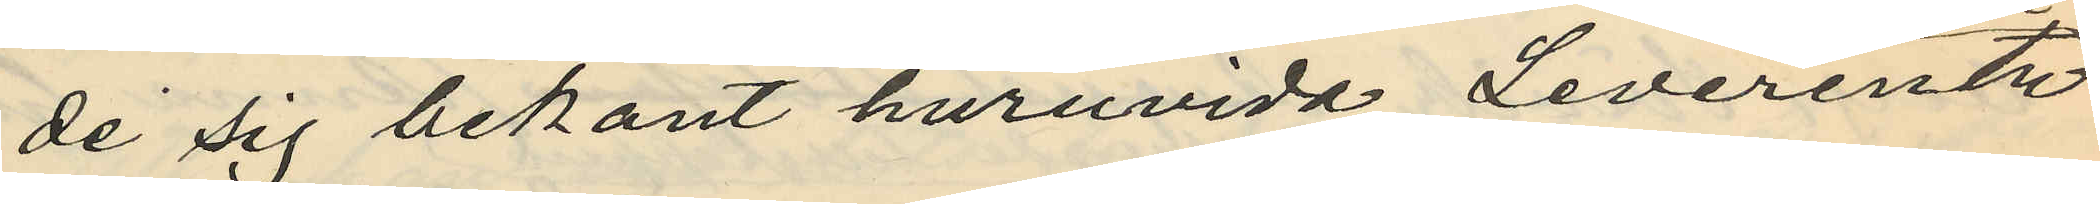de sig bekant huruvida Leverentz
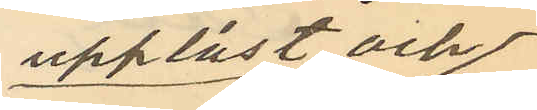upplåst och
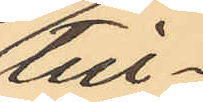till¬
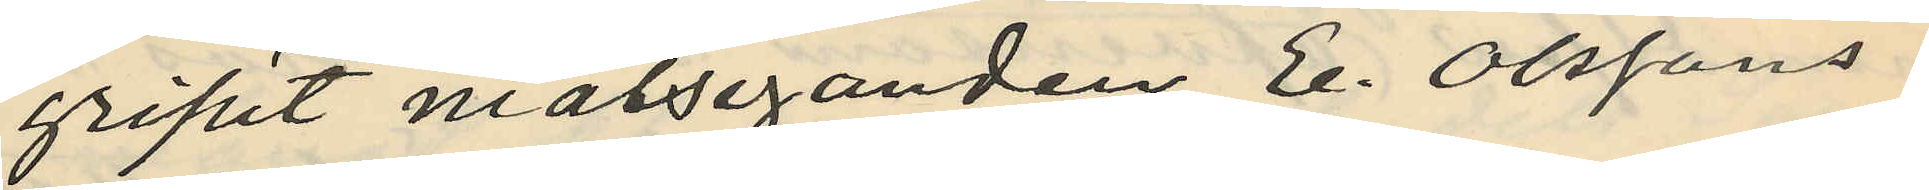gripit målseganden E. Olssons
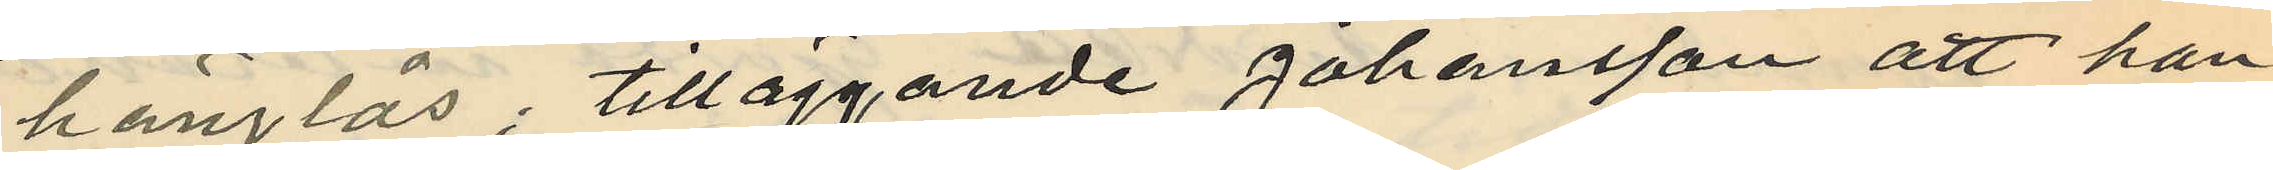hänglås; tilläggande Johansson att han
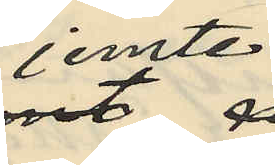jemte
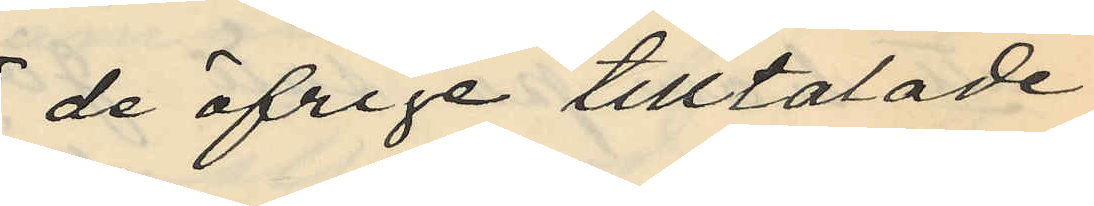de öfrige tilltalade
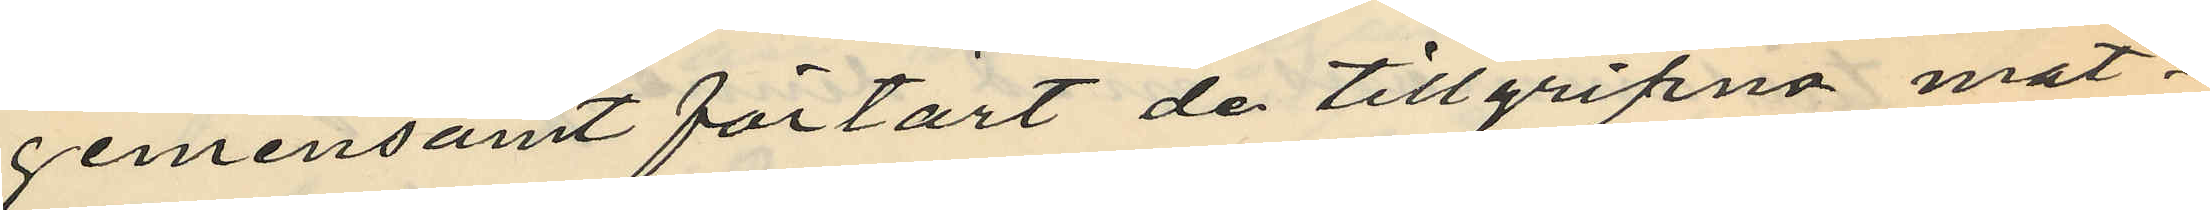gemensamt förtärt de tillgripna mat¬
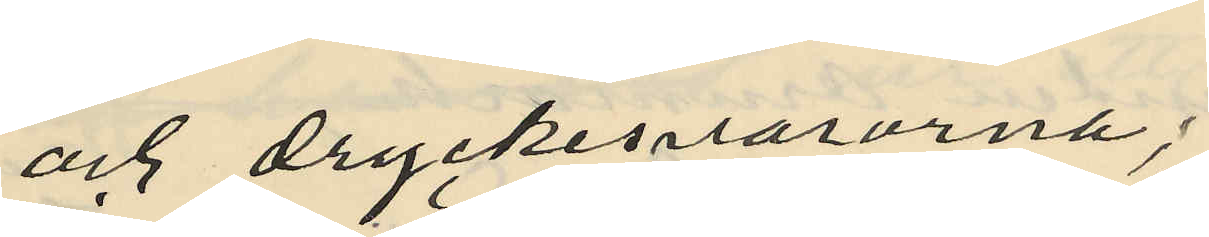och dryckesvarorna;
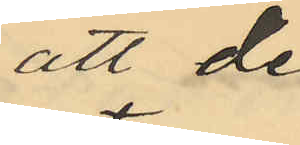att de
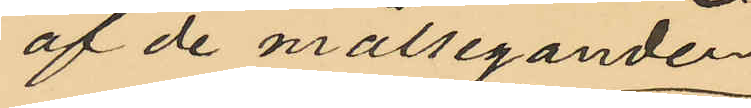af de målseganden
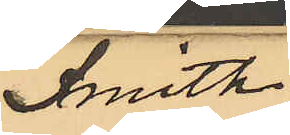Smith
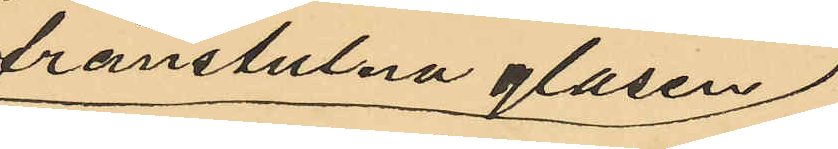frånstulna glasen
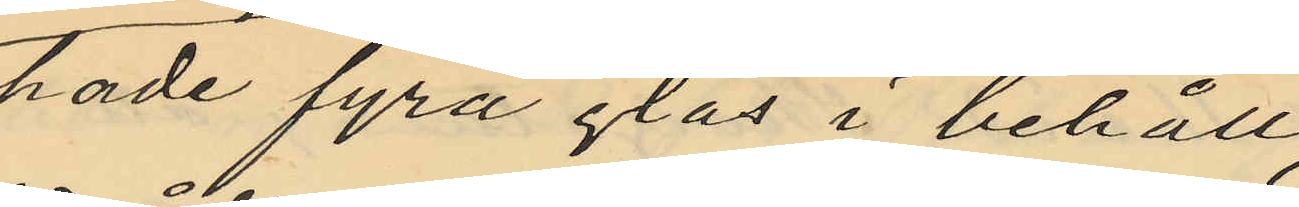hade fyra glas i behåll
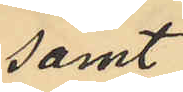samt
